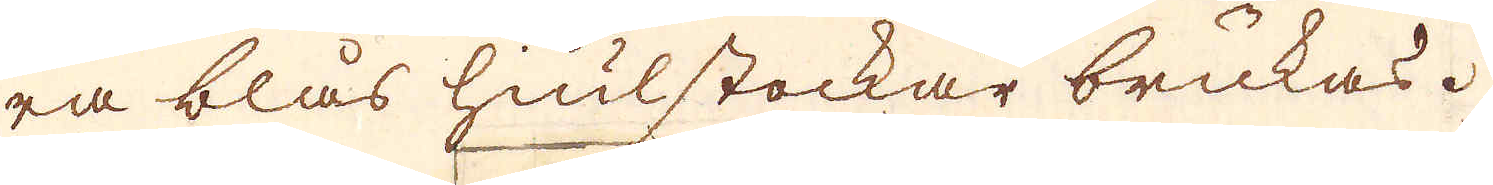ra blås hiulstockar brukas.
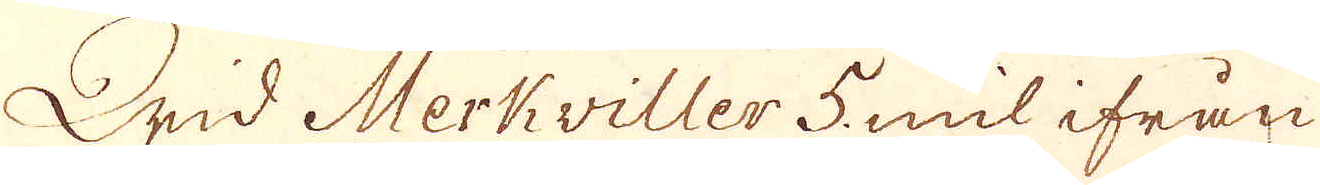Wid Merkviller 5 mil ifrån
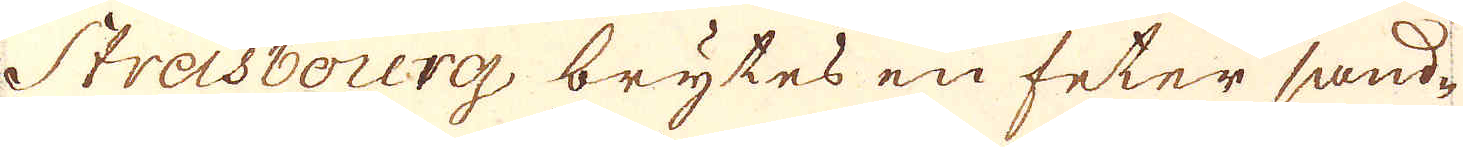Strasbourg brytes en feter sand-
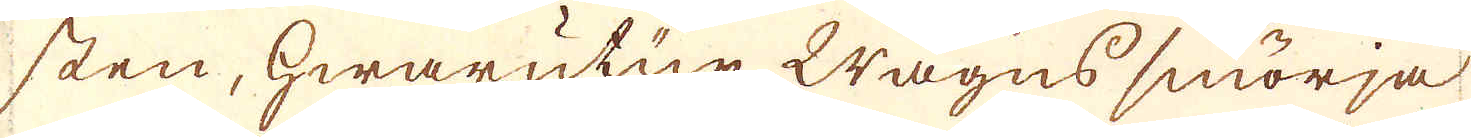sten, hwarutur Wagns smörja
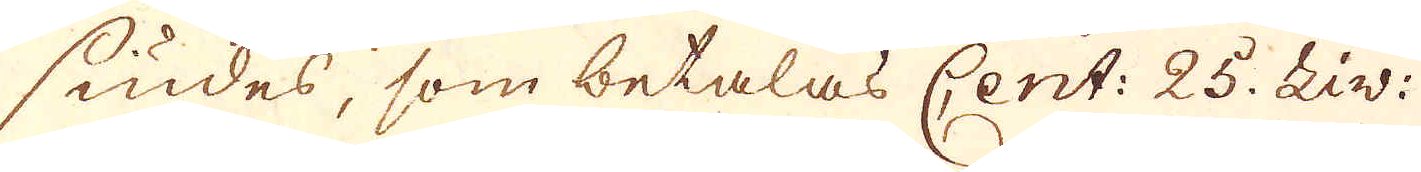siudes, som betalas Cent: 25. Liv:
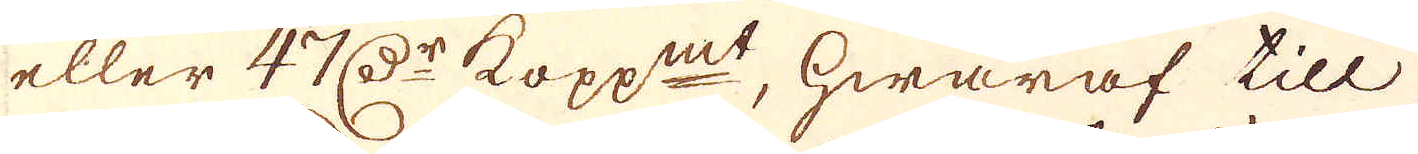eller 47 D:r kopp:mt, hwaraf till
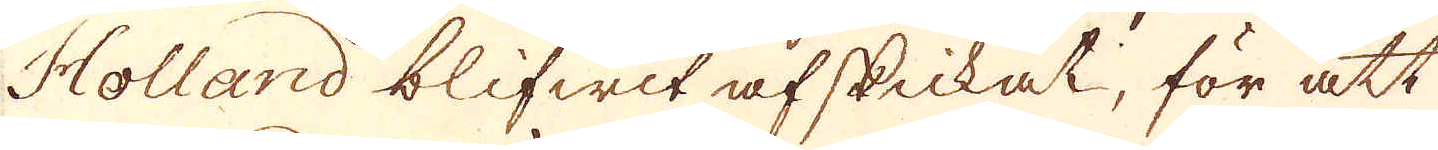Holland blifwit afskickat, för att
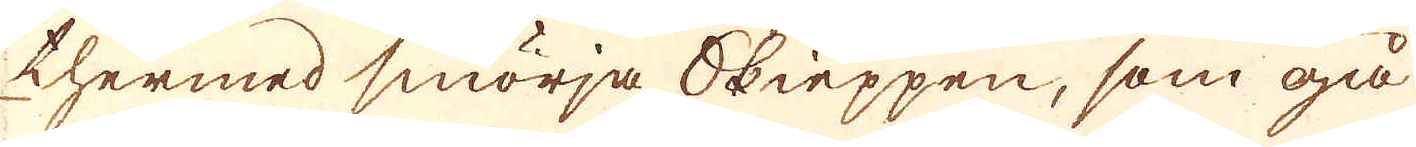thermed smörja Skieppen, som gå
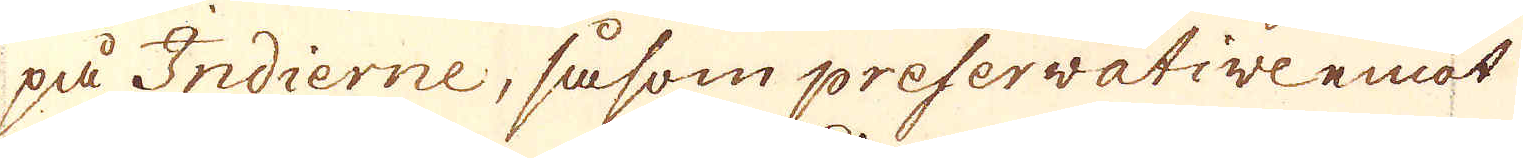på Indierne, såsom preservative emot
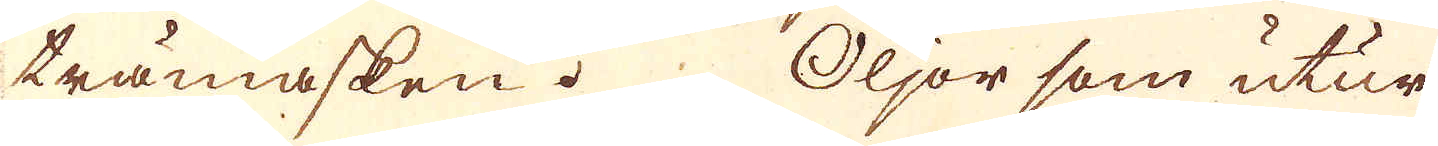trämasken. Oljor som utur
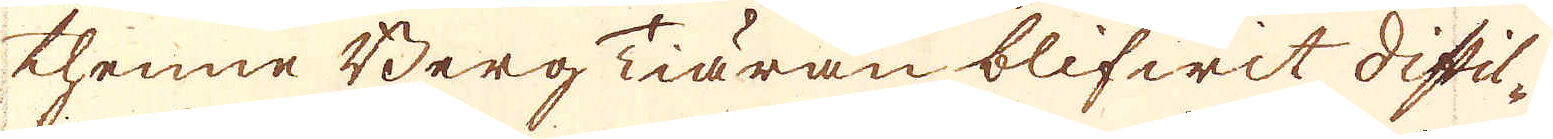thenne Berg Tiäran blifwit distil-
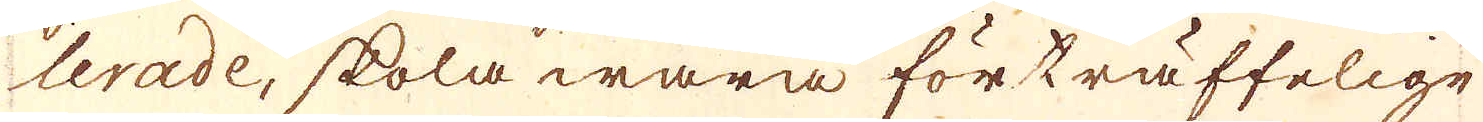lerade, skola wara förträffelige
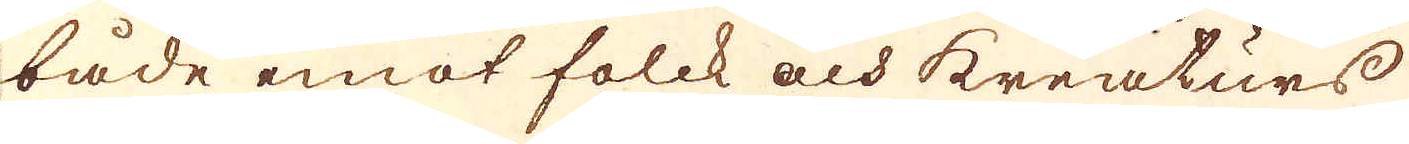både emot folck och kreaturs
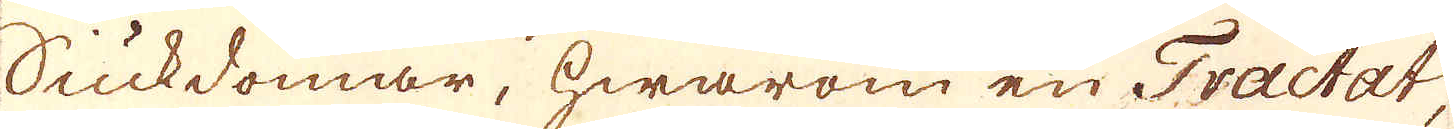Siukdomar, hwarom en Tractat,
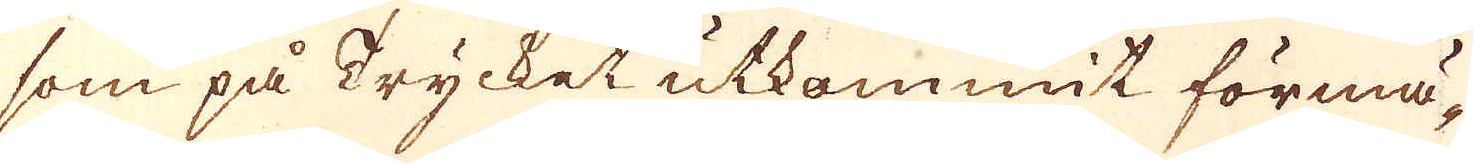som på Trycket utkommit förmä-
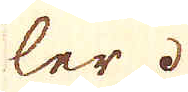ler.
